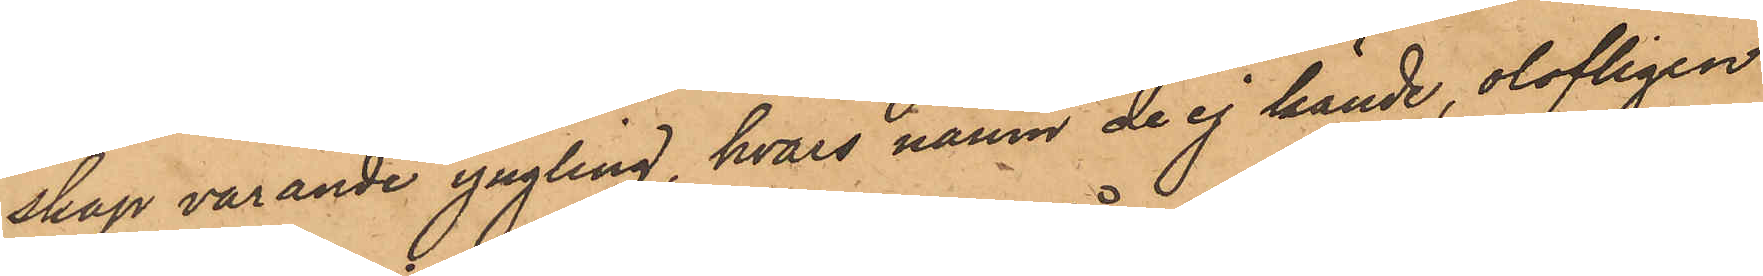skap varande yngling, hvars namn de ej kände, olofligen
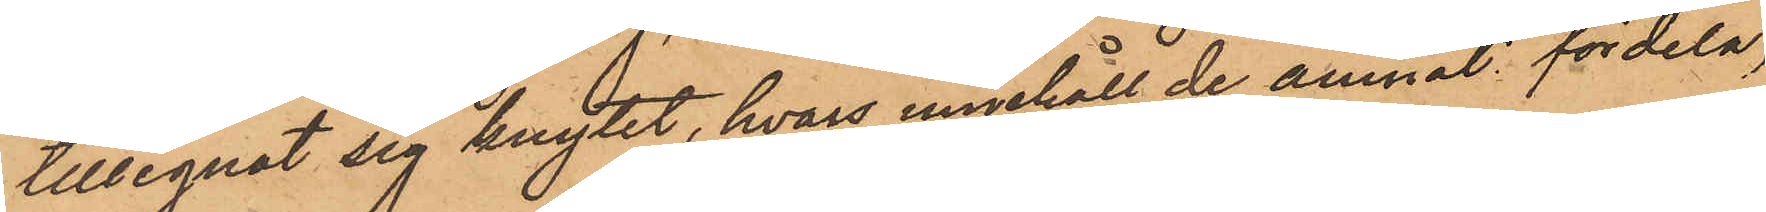tillegnat sig knytet, hvars innehöll de ämnat fördela,
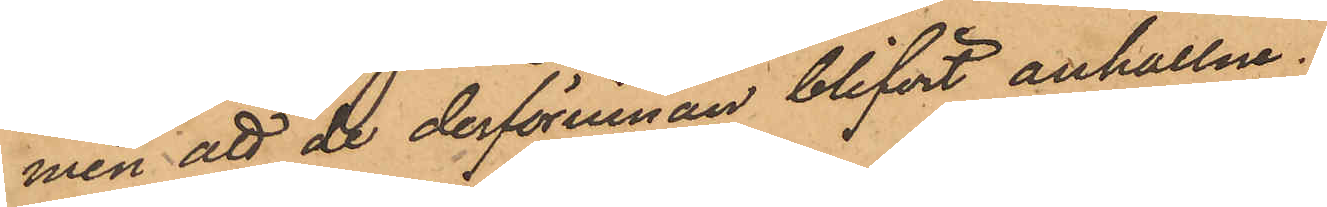men att de derförinnan blifvit anhållne.
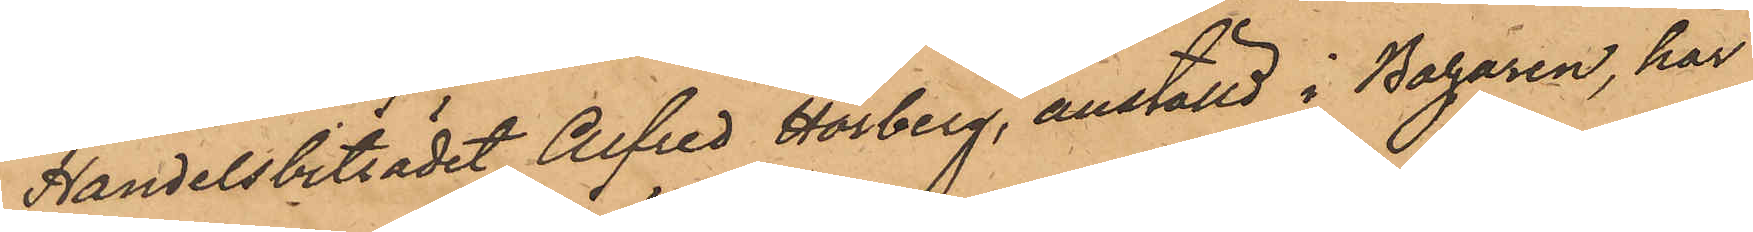Handelsbiträdet Alfred Hörberg, anställd i Bazaren, har
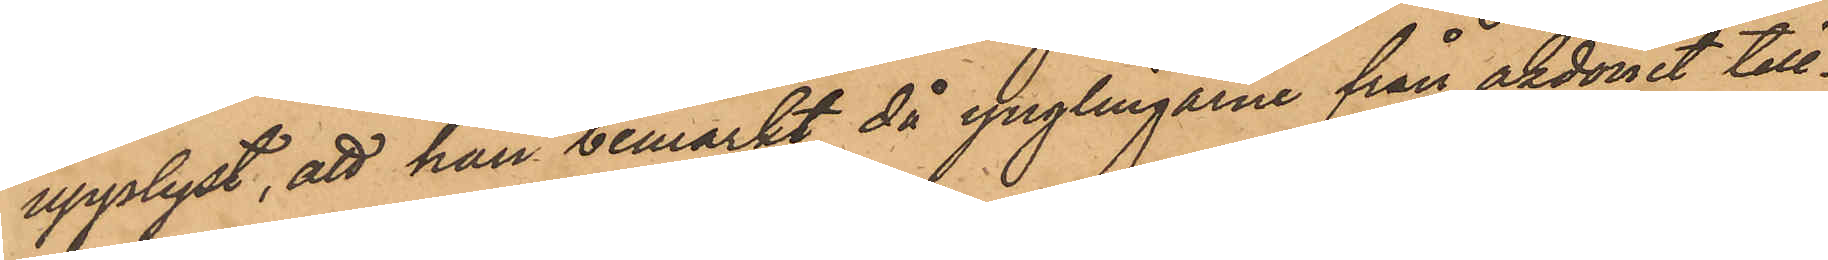upplyst, att han bemärkt då ynglingarne från åkdonet till¬
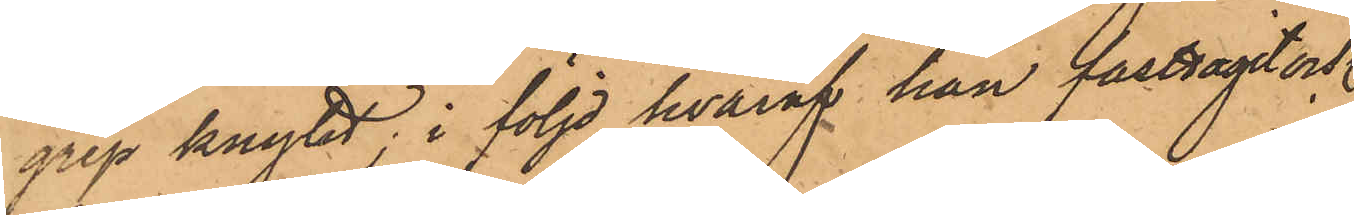grep knytet; i följd hvaraf han fasttagit och
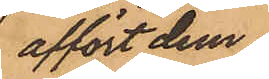affört dem
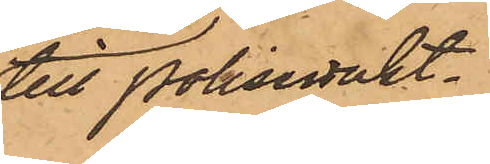till Polisvakt¬
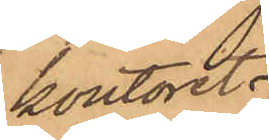kontoret.
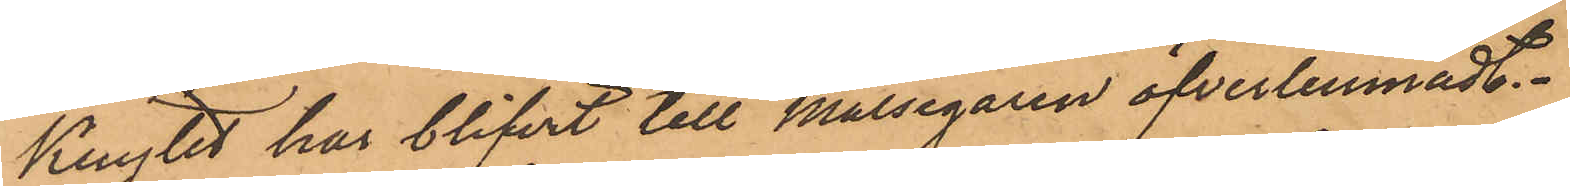Knytet har blifvit till Målsegaren öfverlemnadt.
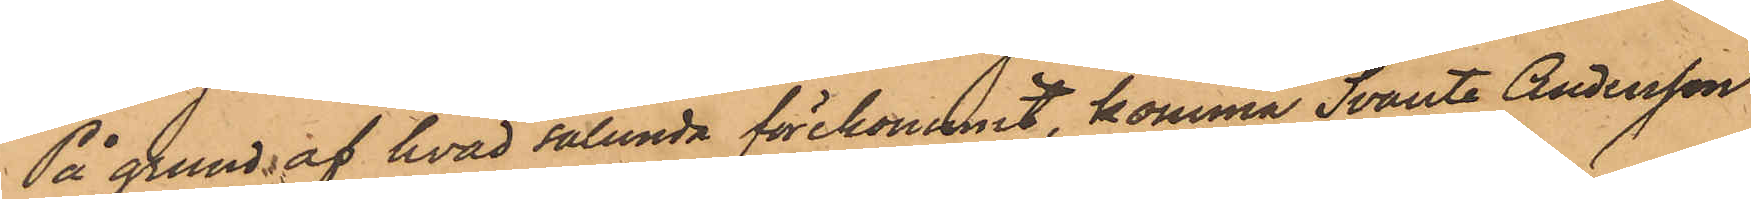På grund af hvad sålunda förekommit, komma Svante Andersson
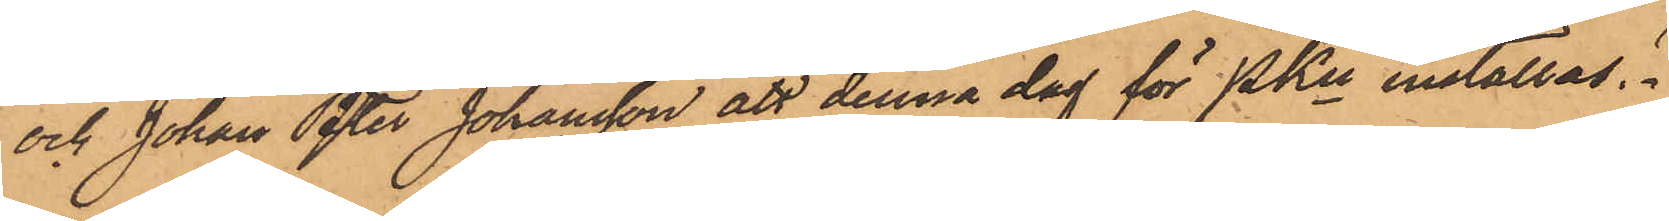och Johan Peter Johansson att denna dag för PKn inställas.
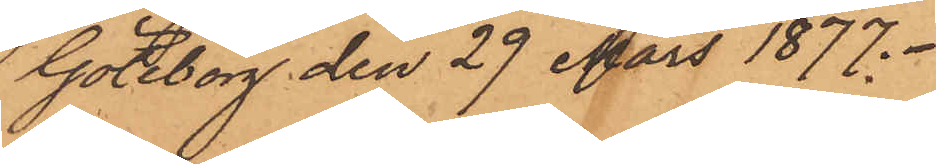Göteborg den 29 Mars 1877.
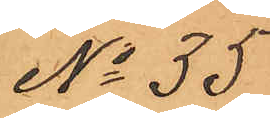No 35
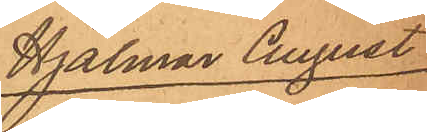Hjalmar August
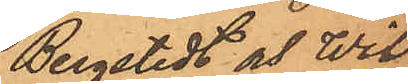Bergstedt och Wil¬
